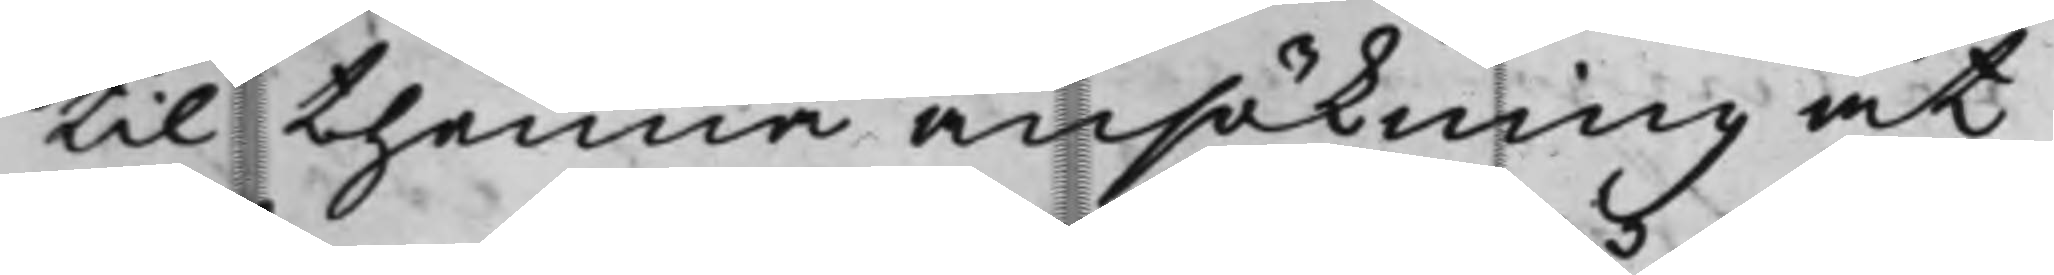til thenna ansökning at
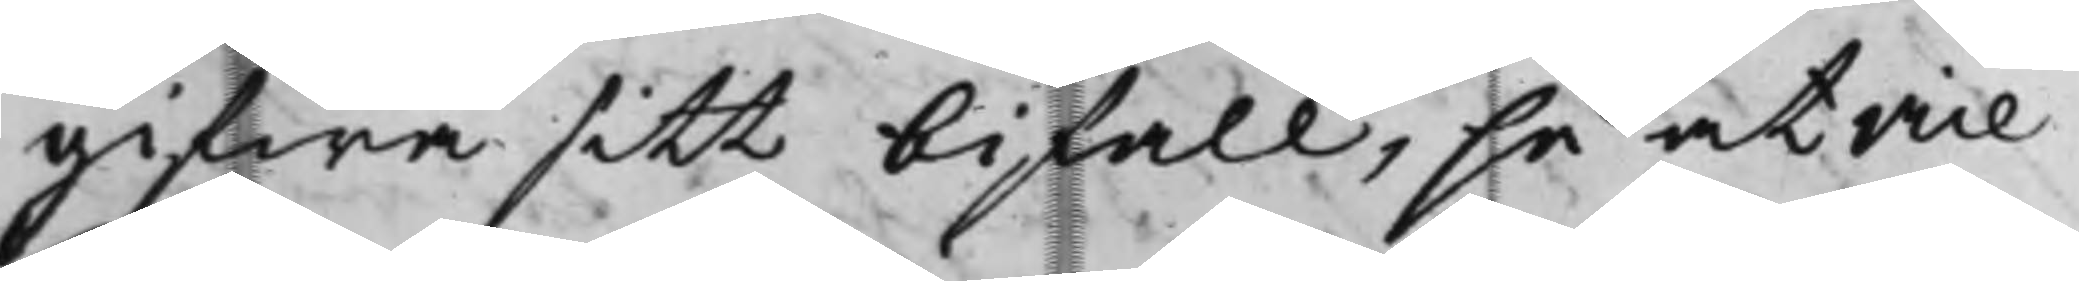gifwa sitt bifall, så at vice
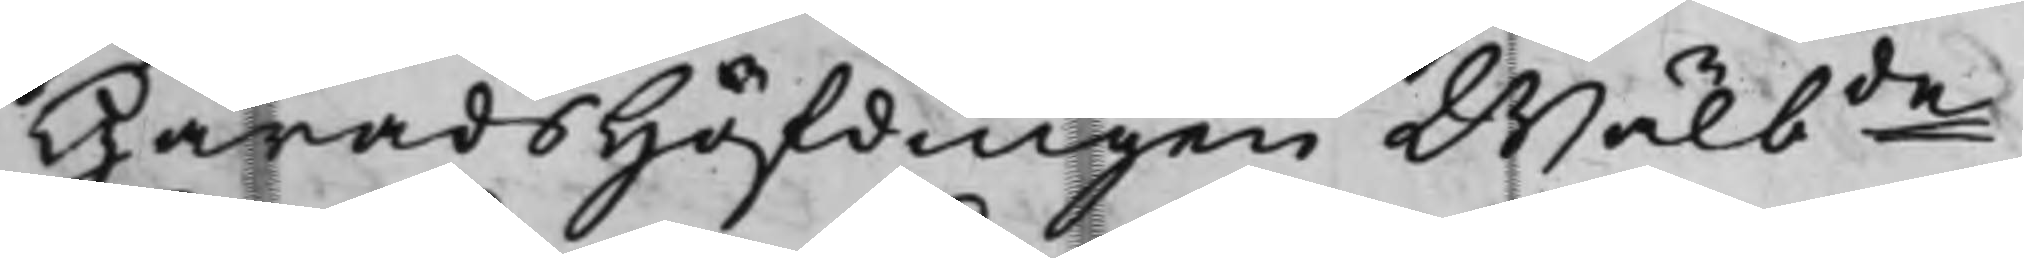HäradsHöfdingen Wälbde
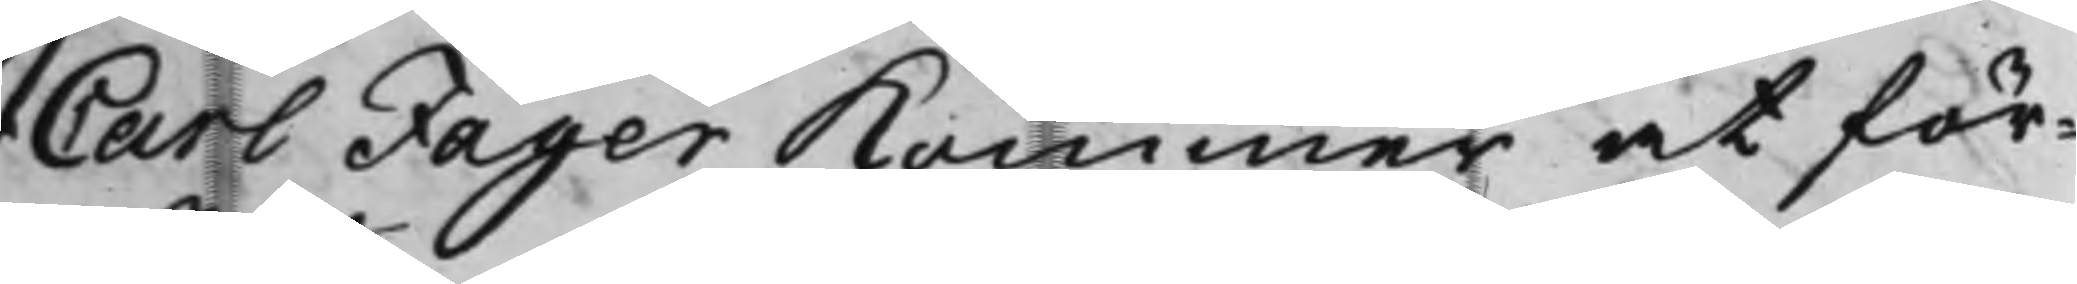Carl Fager Kommer at för¬
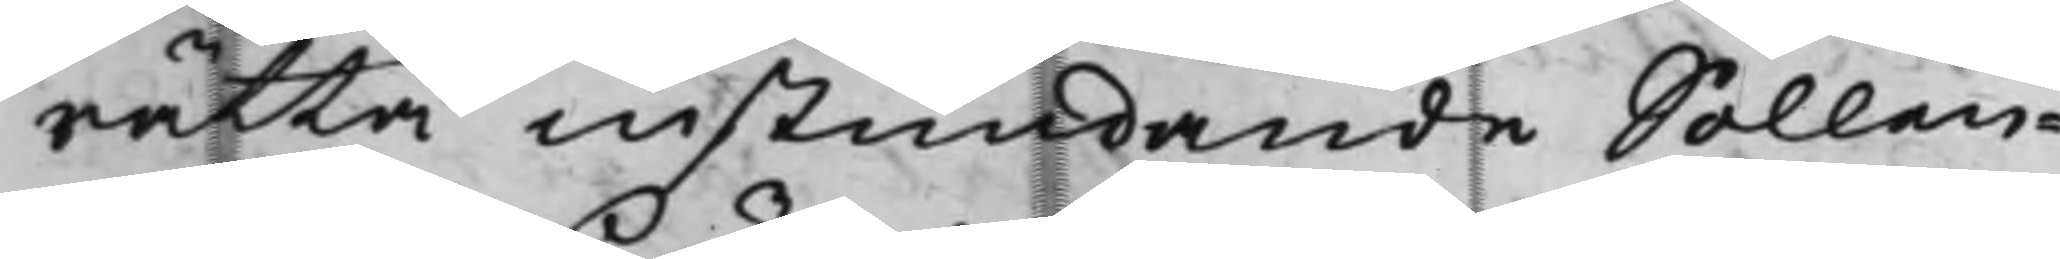rätta instundande Sollen¬
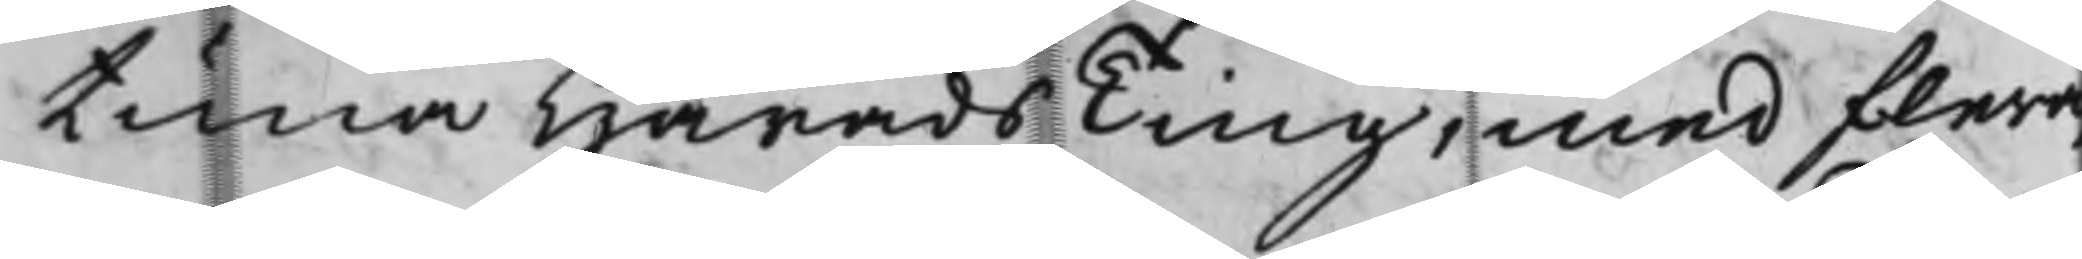tuna HäradsTing, med flera
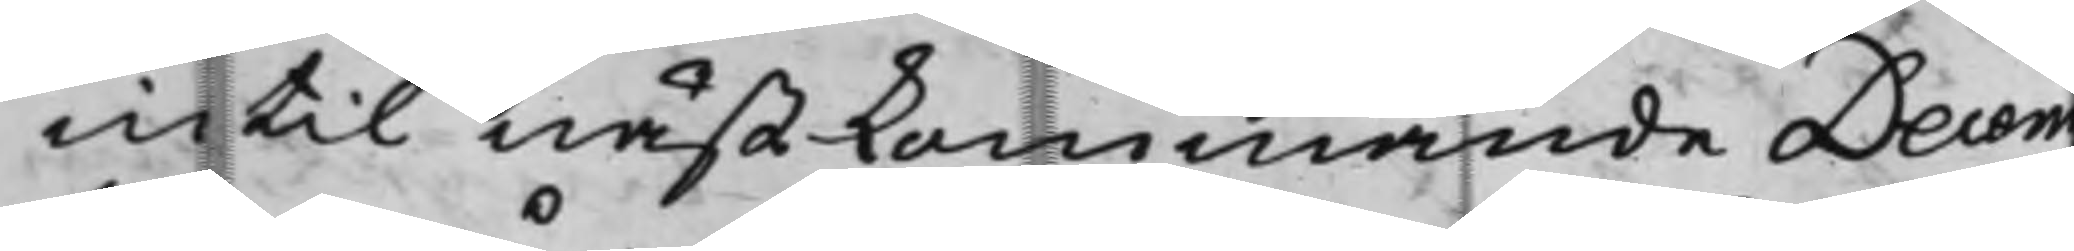intil nästkommande Decem¬
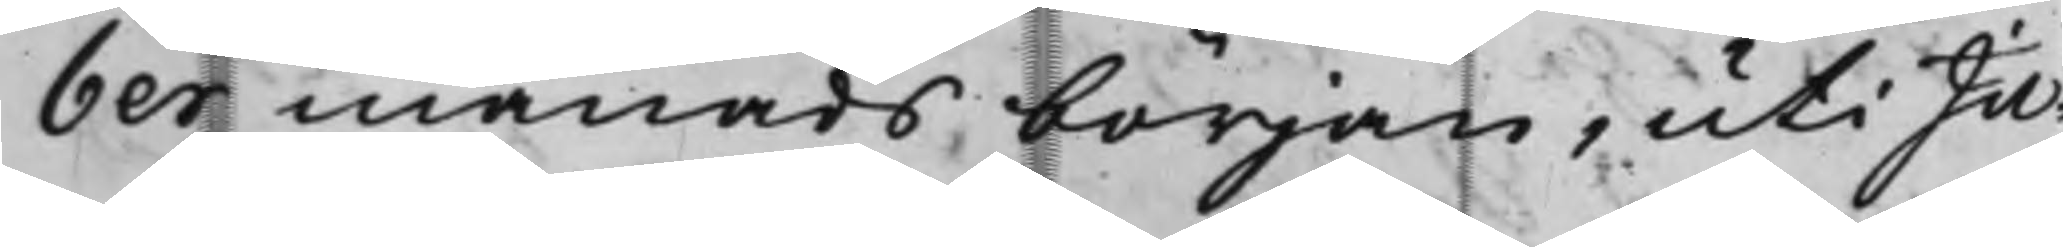ber månads början, uti Ju¬
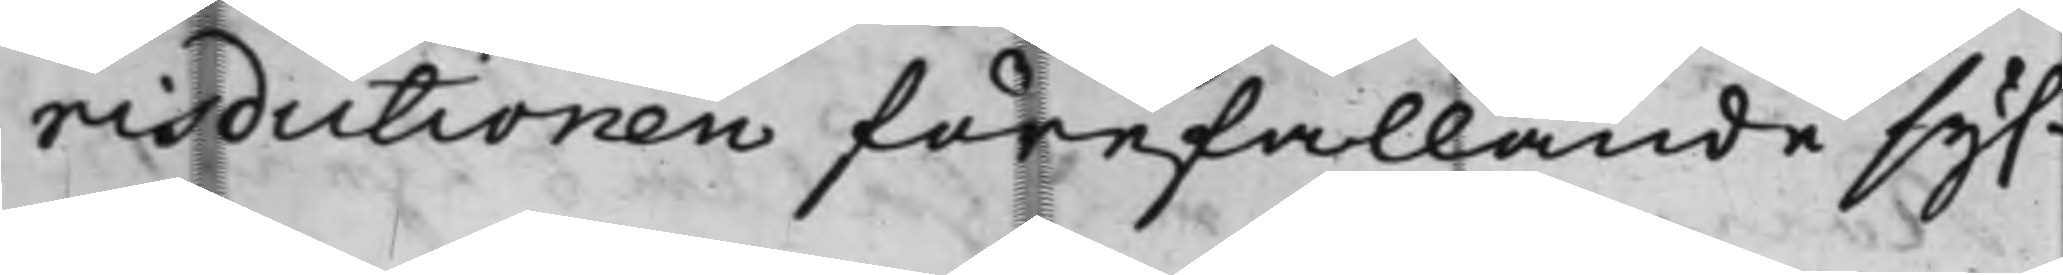risdictionen förefallande sys¬
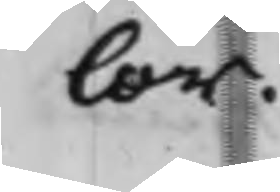lor.
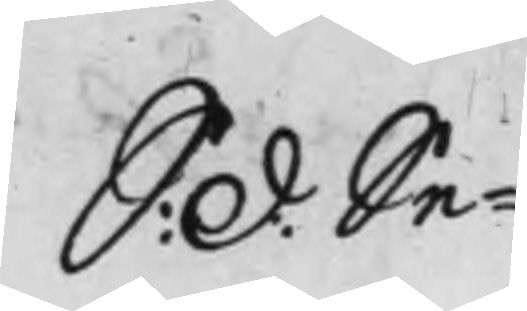S: d: Se¬
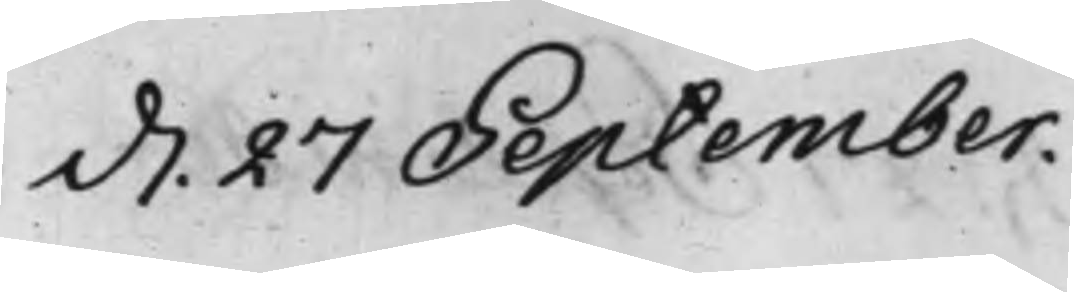d. 27 September.
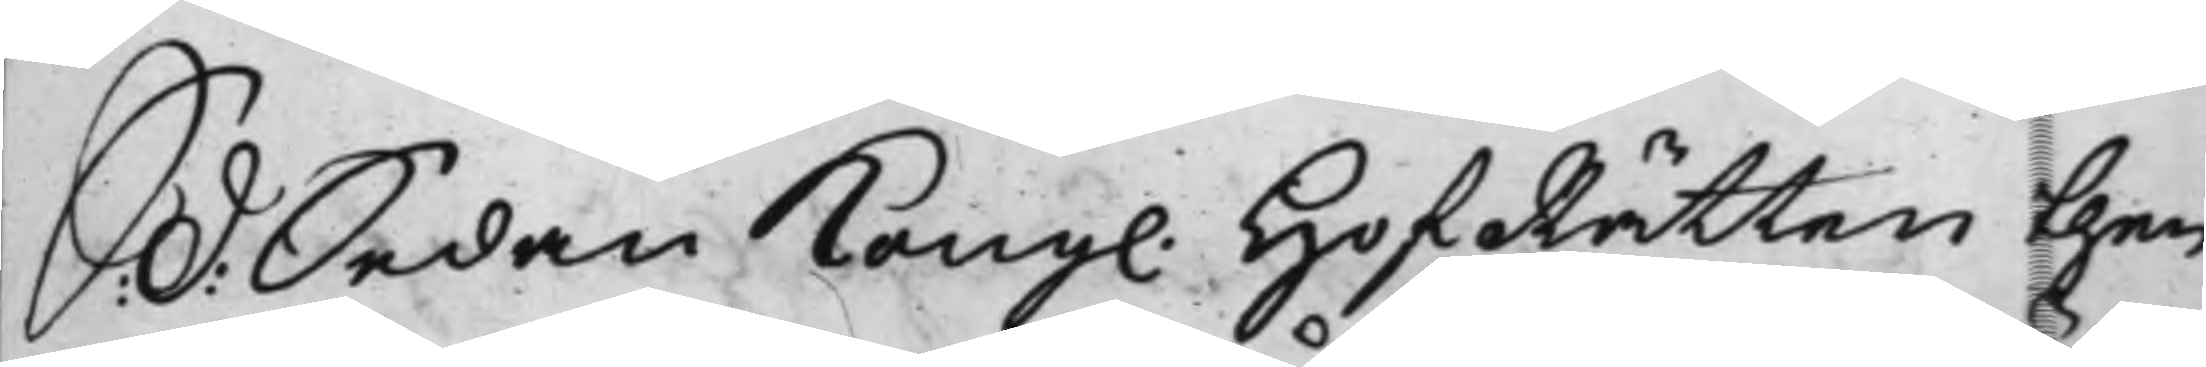S: d: Sedan Kong. HofRätten then
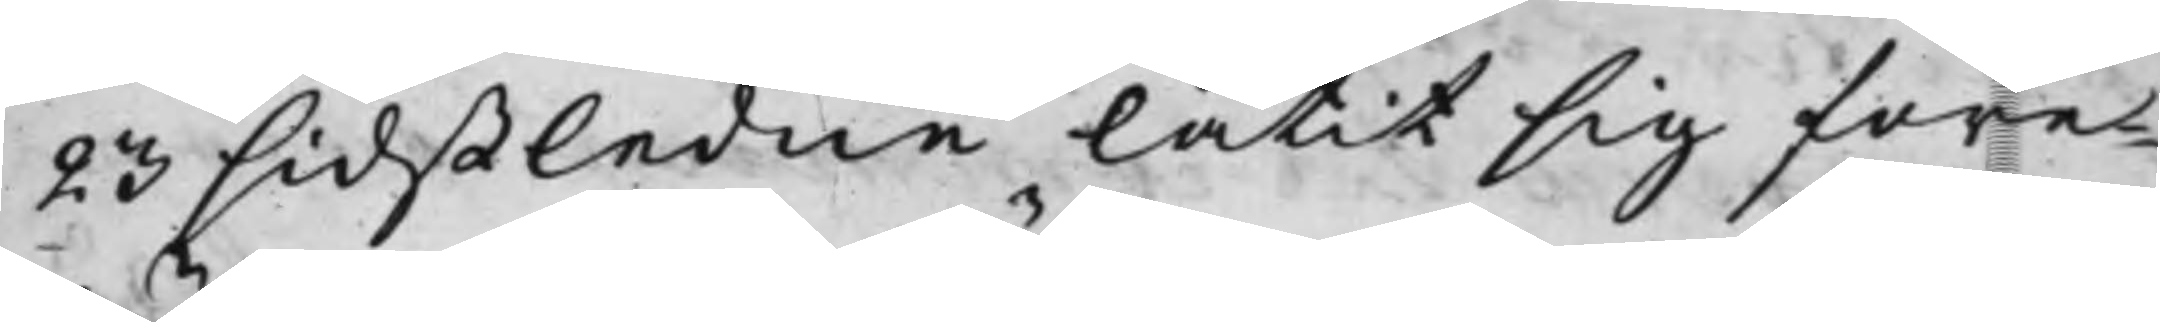23 sidstledne låtit sig före¬
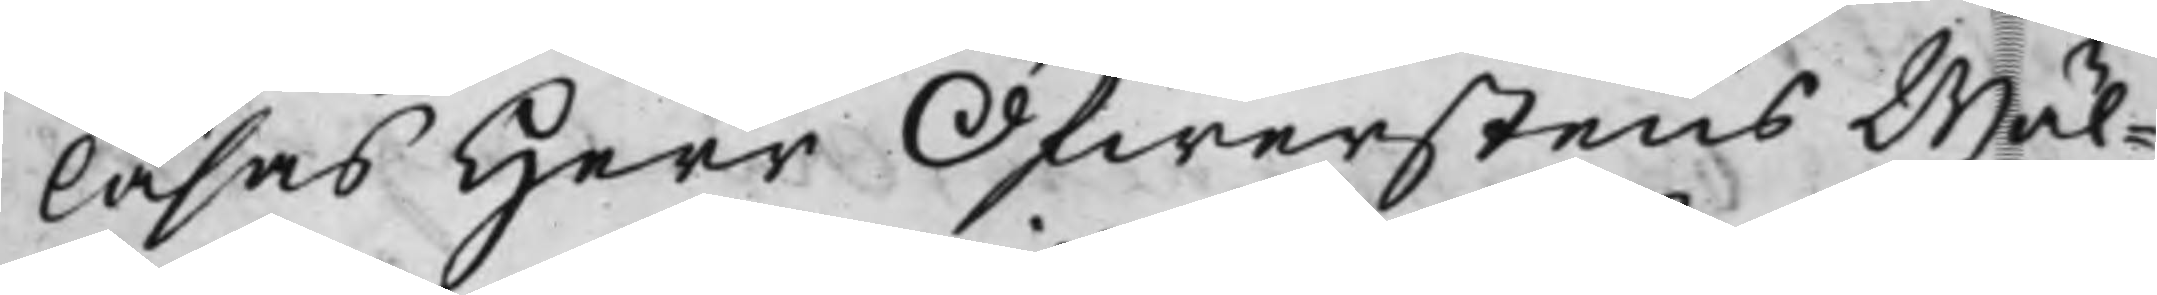läsas Herr Öfwerstens Wäl¬
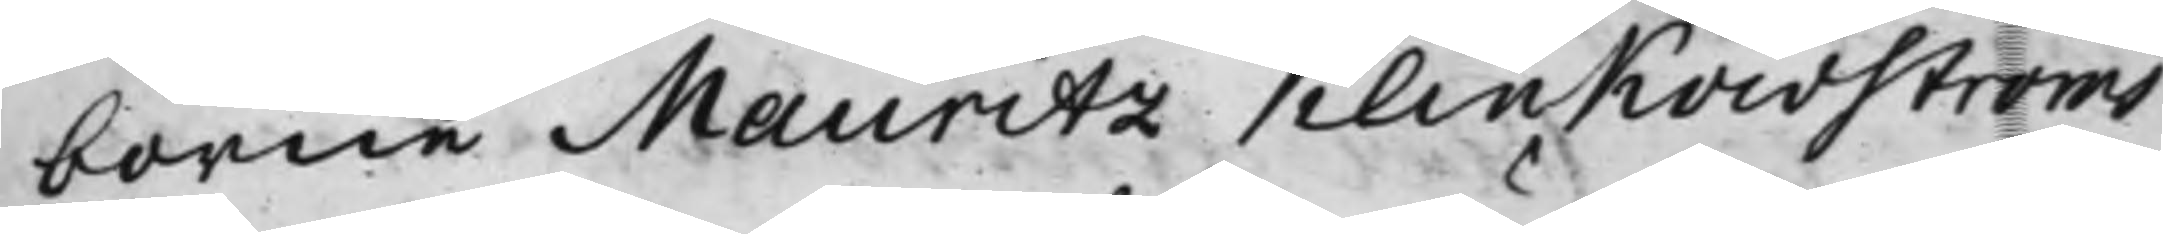borne Mauritz KlinKowströms
